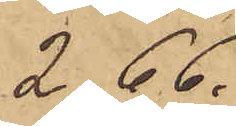2,66.
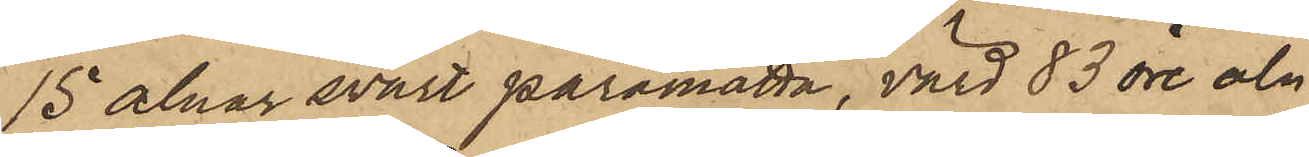15 alnar svart paramatta, värd 83 öre aln
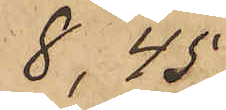8,45.
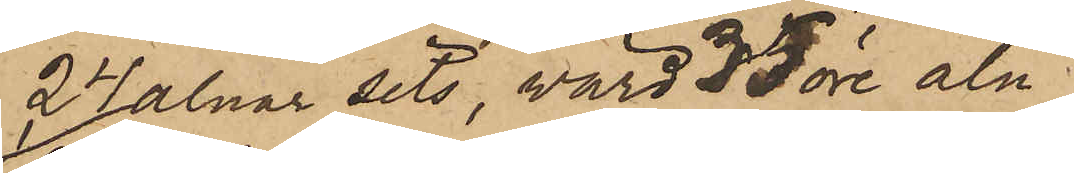24 alnar sits, värd 35 öre aln
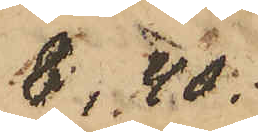8,40.
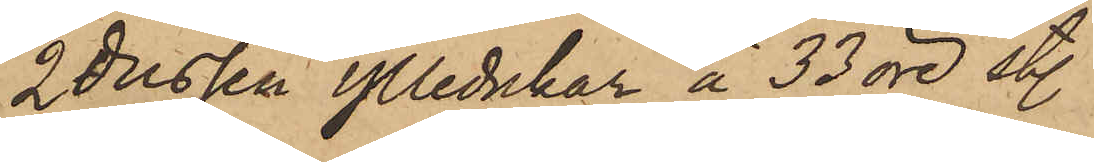1/2 dussin ylledukar à 33 öre st.
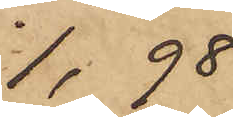1,98.
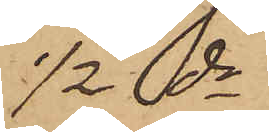 1/2 do
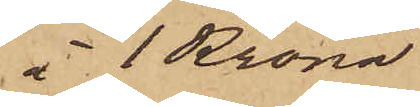à 1 Krona
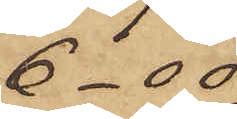6-00.
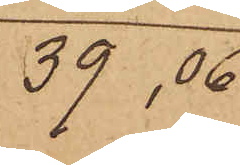39,06
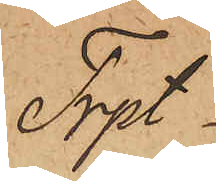Trpt
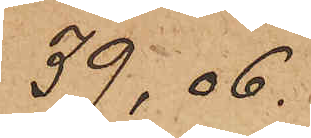39,06.
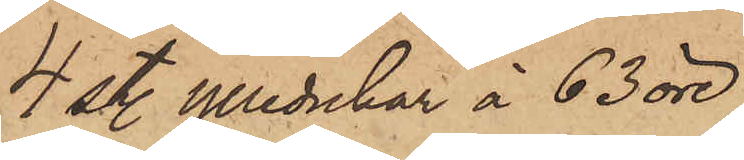4 st. ylledukar à 63 öre
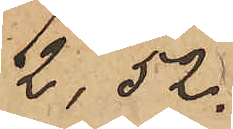2,52.
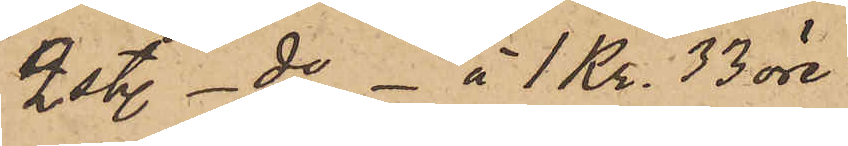2 st. - do - à 1 Kr. 33 öre
